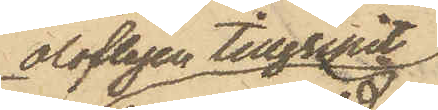olofligen tillgripit
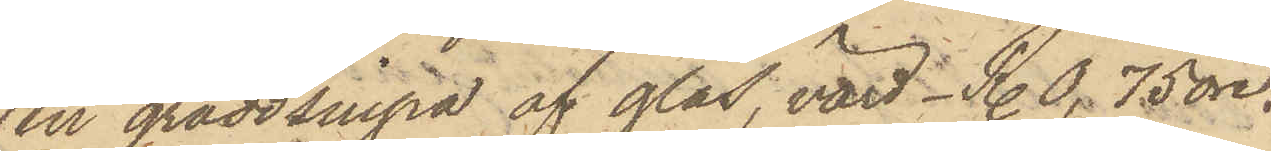en gräddsnipa af glas, värd _ R. 0,75 öre.
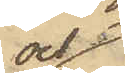och
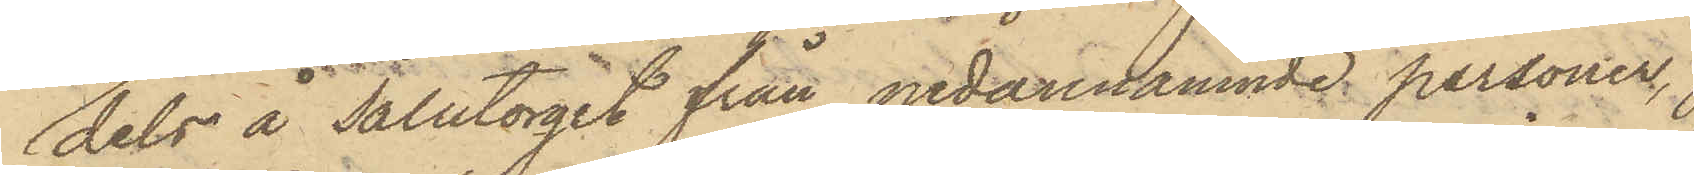dels å Salutorget från nedannämnde personer,
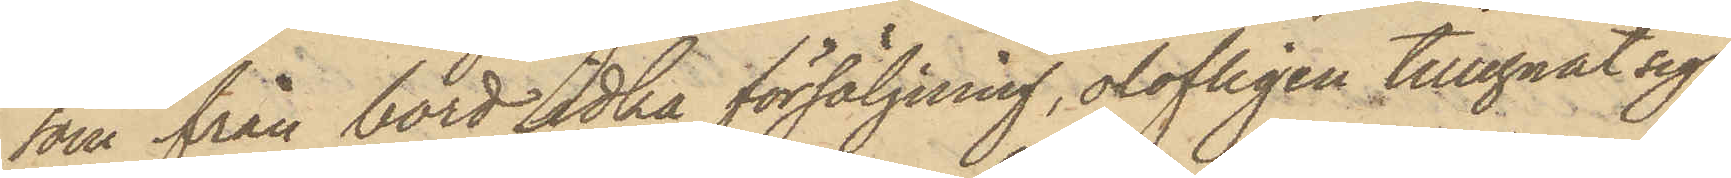som från bord idka försäljning, olofligen tillegnat sig
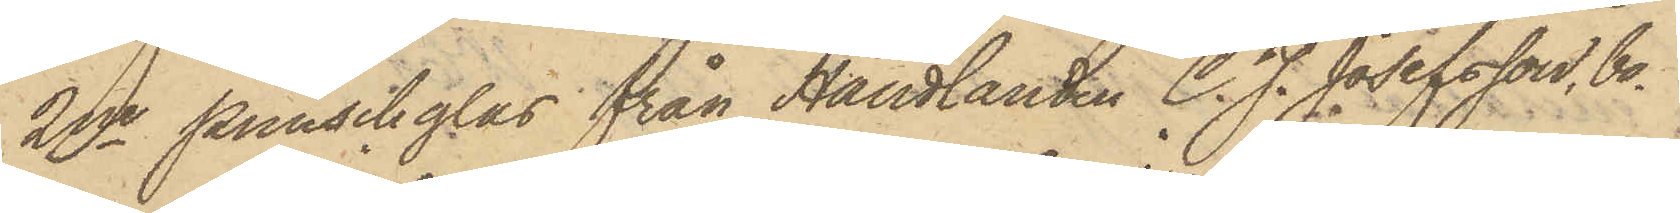2ne punschglas från Handlanden C. J. Josefsson, bo¬
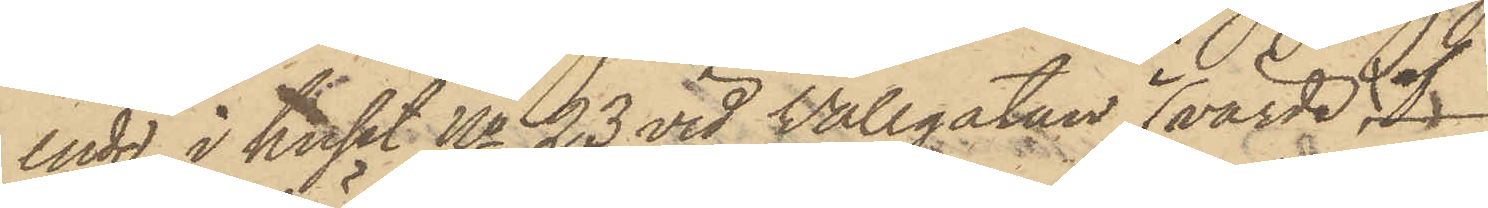ende i huset No 23 vid Vallgatan, i värde af
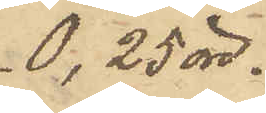0, 25 öre.
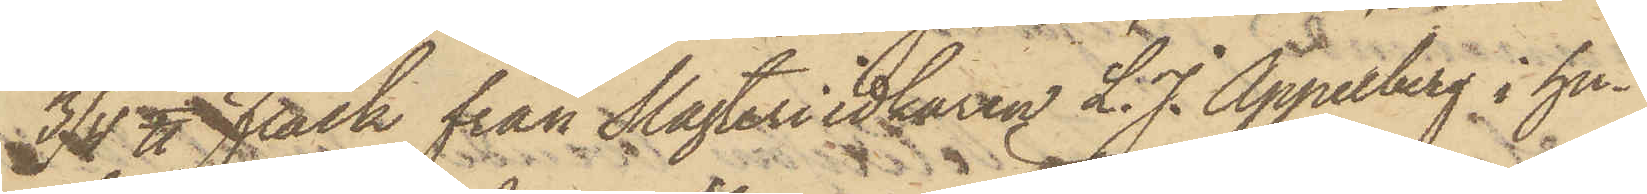3/4 ℔ Fläsk från Slagteriidkaren L. J. Appelberg i hu¬
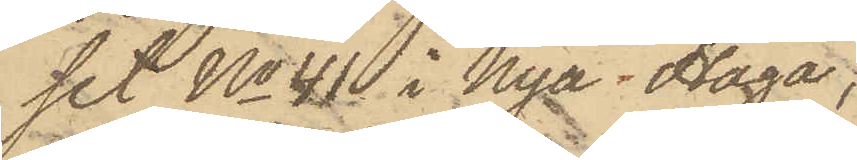set No 41 i Nya Haga;
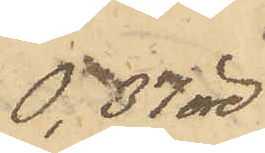0,37 öre
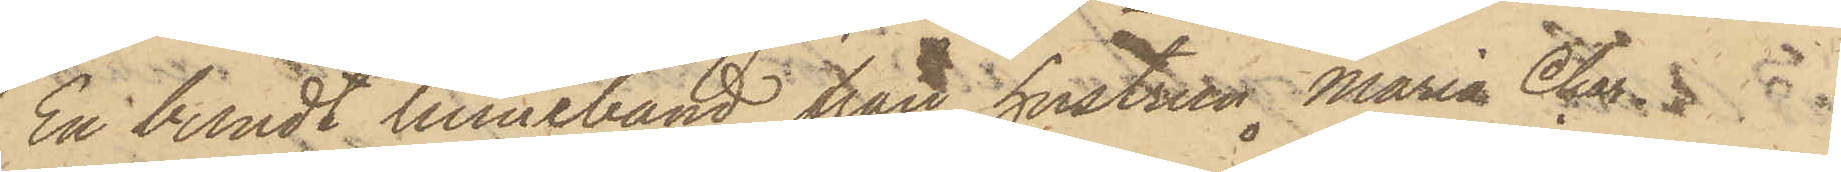En bundt linneband från hustrun Maria Clar¬
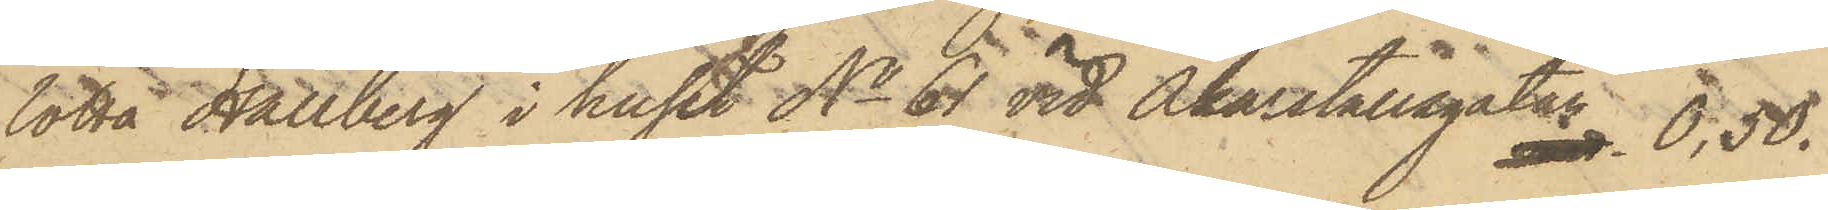lotta Hallberg i huset No 61 vid Åkarstallsgatan 0,50.
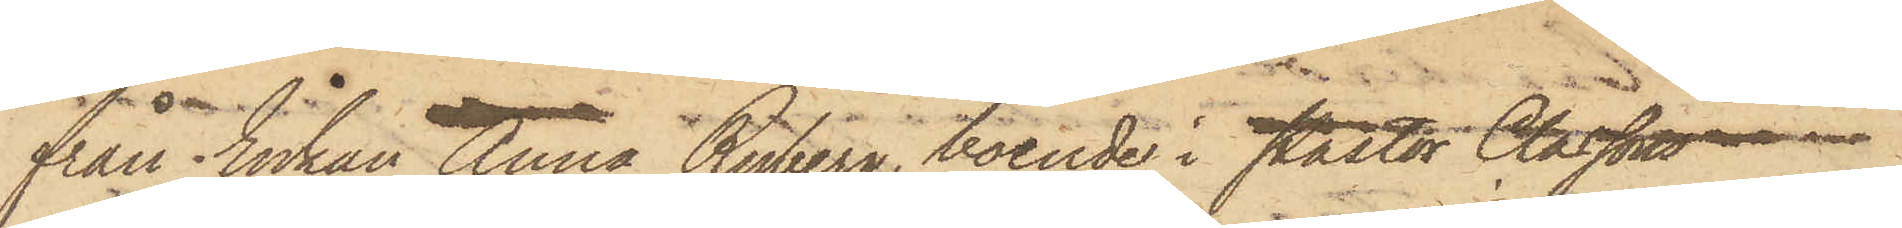från Enkan Anna Ryberg, boende i Pastor Classons
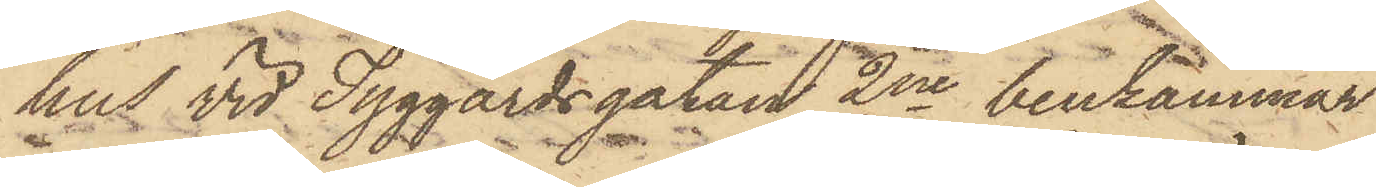hus vid Tyggårdsgatan 2ne benkammar
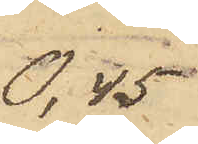0,45
